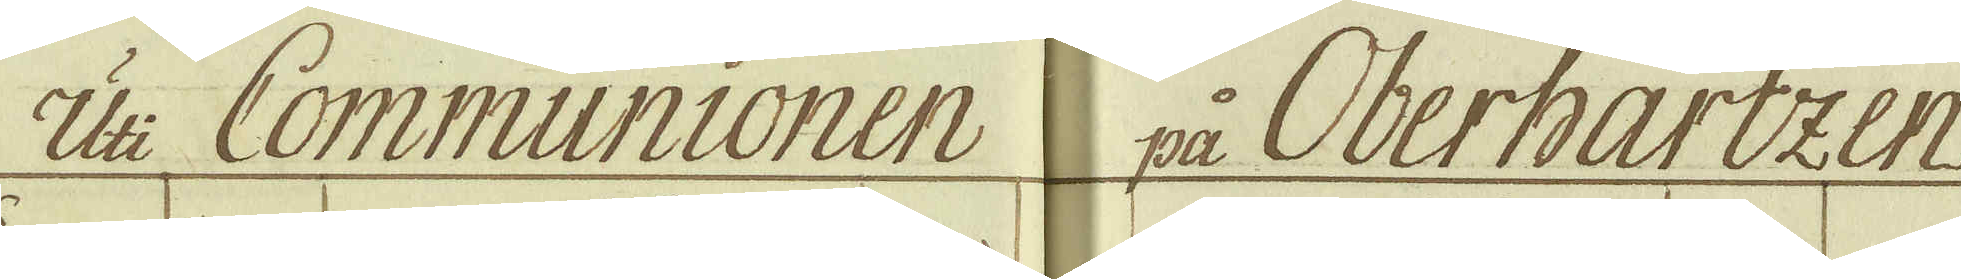Uti Communionen på Oberhartzen.
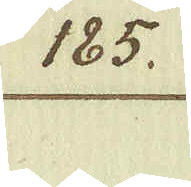185.
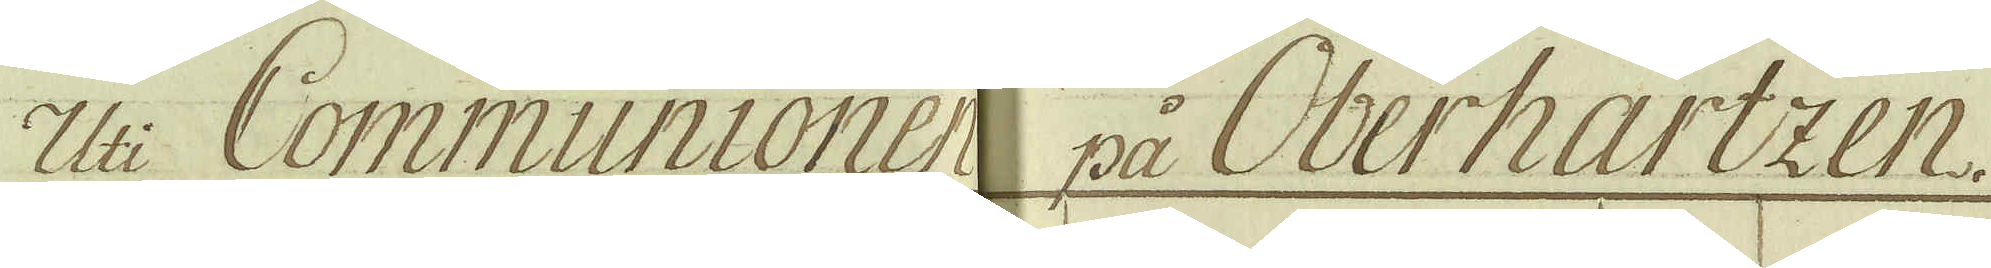Uti Communionen på Oberhartzen.
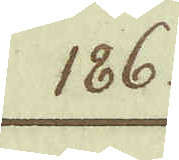186.
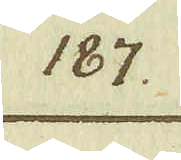187.
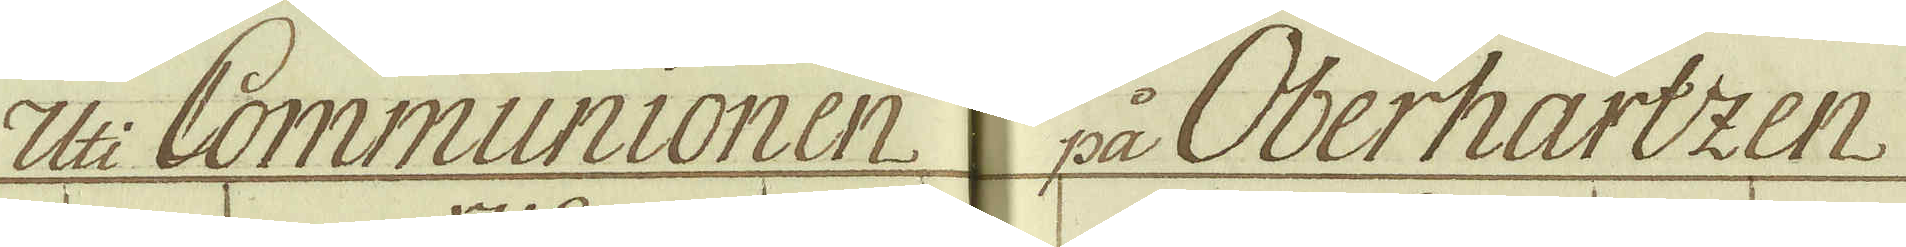Uti Communionen på Oberhartzen
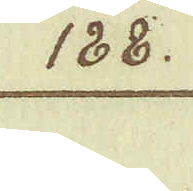188.
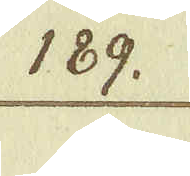189.
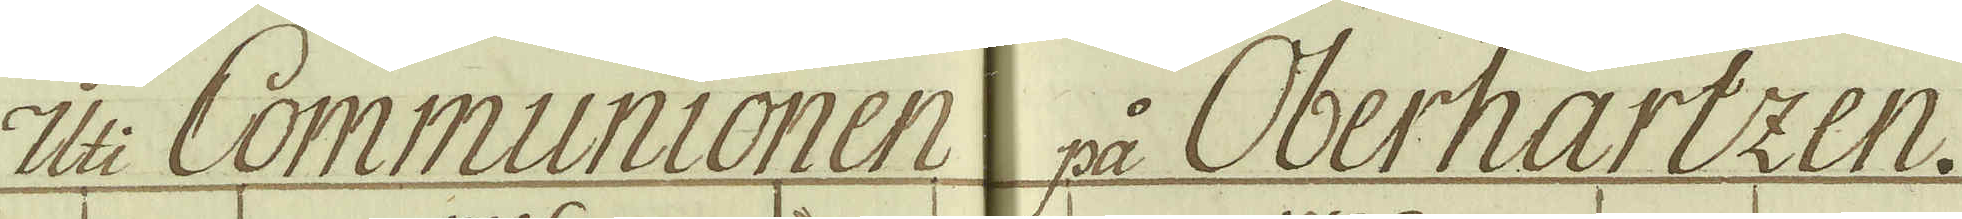Uti Communionen på Oberhartzen.
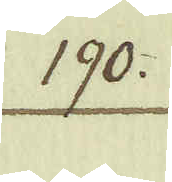190.
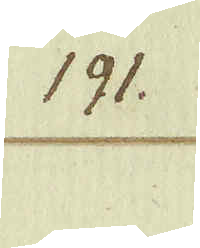191.
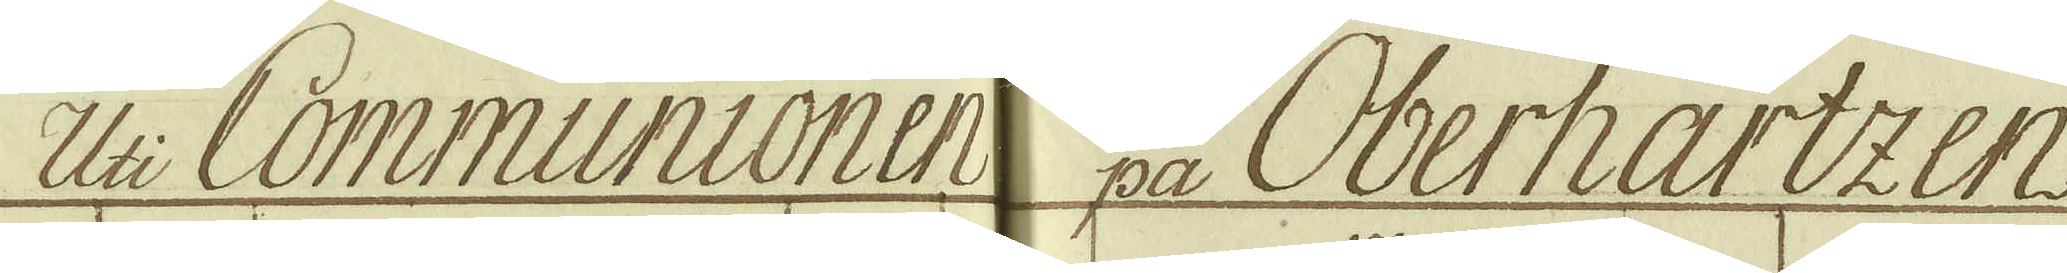Uti Communionen på Oberhartzen.
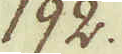192.
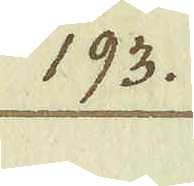193.
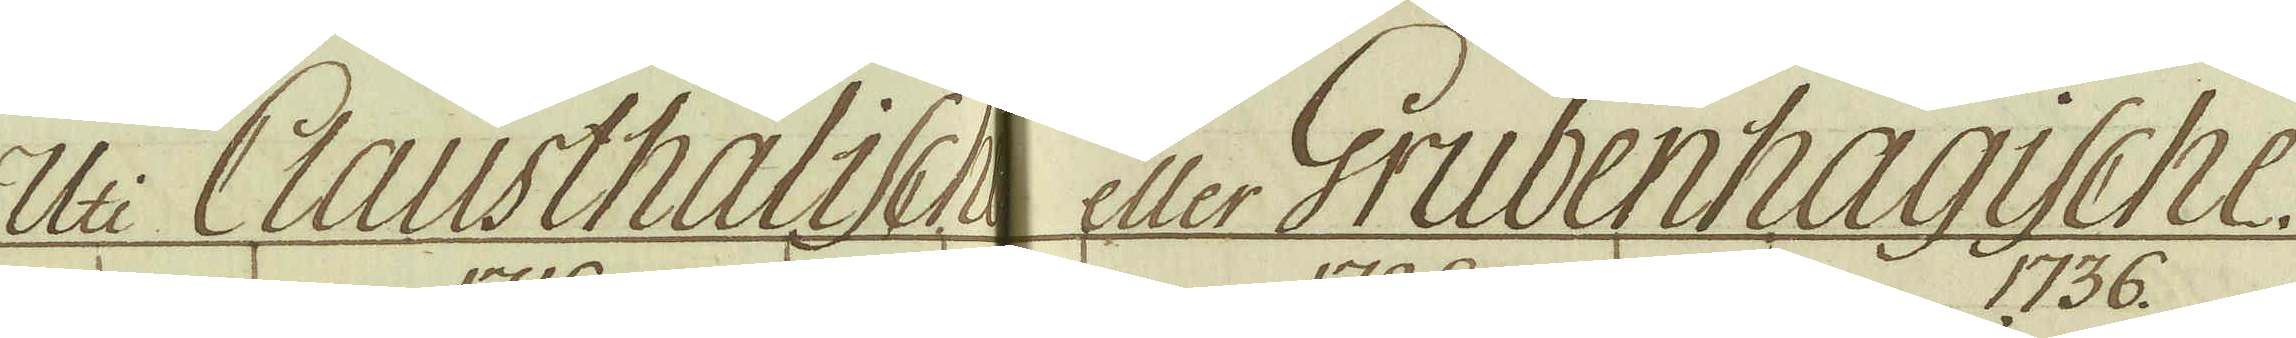Uti Clausthalische eller Grubenhagische.
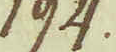194.
